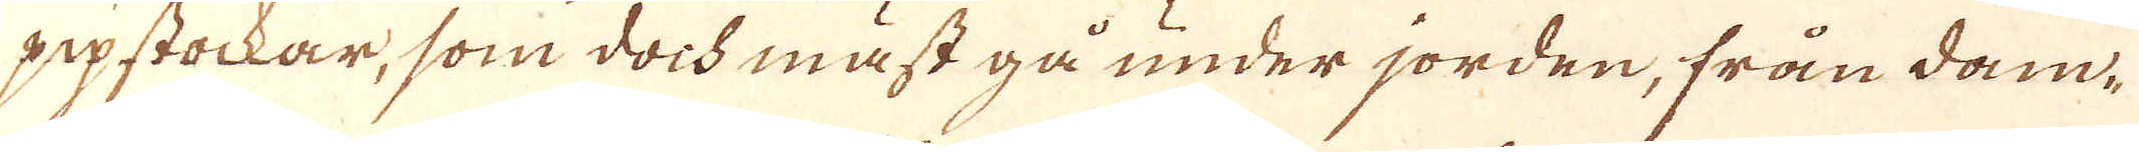pipstockar, som doch mäst gå under jorden, från dam-
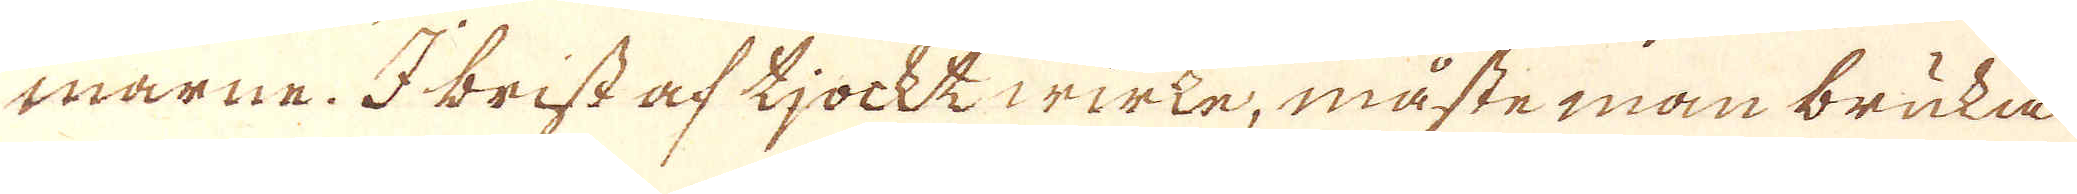marne. I brist af tjocktwirke, måste man bruka
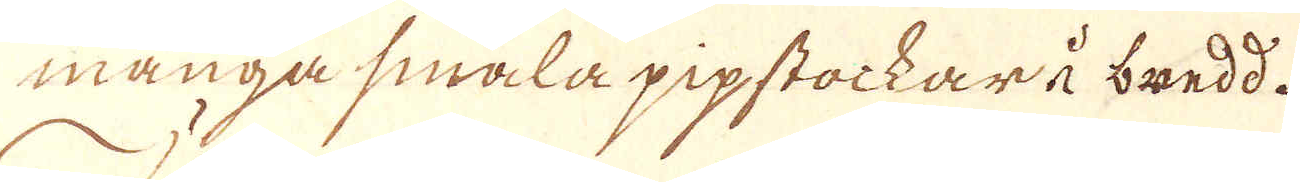många smala pipstockar i bredd.
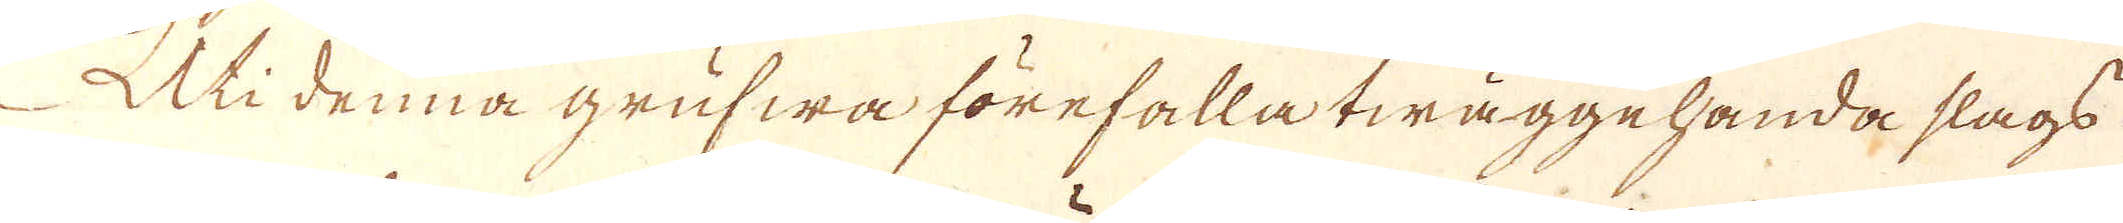Uti denna grufwa förefalla twäggehanda slags
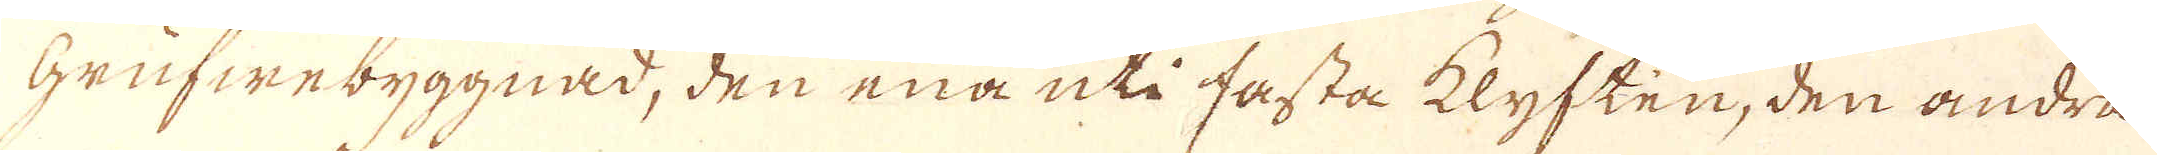Grufwebyggnad, den ena uti fasta klyften, den andra
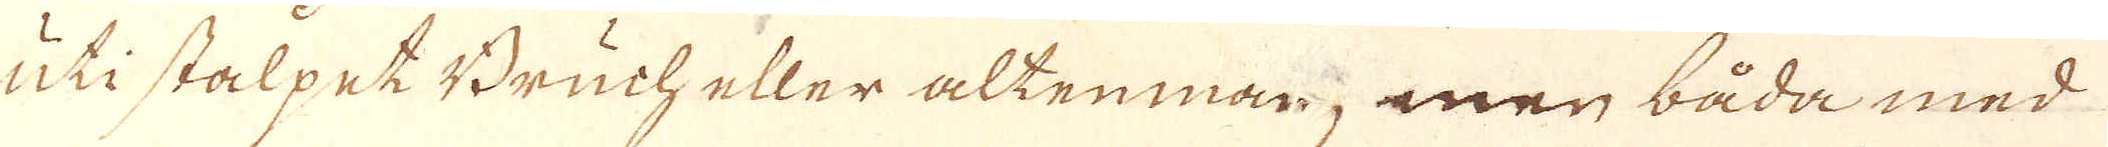uti stalpet Bruch eller altenman; men båda med
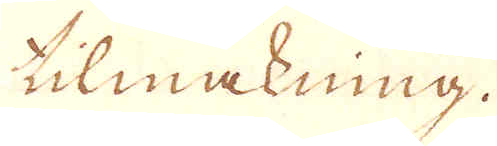tilmakning.
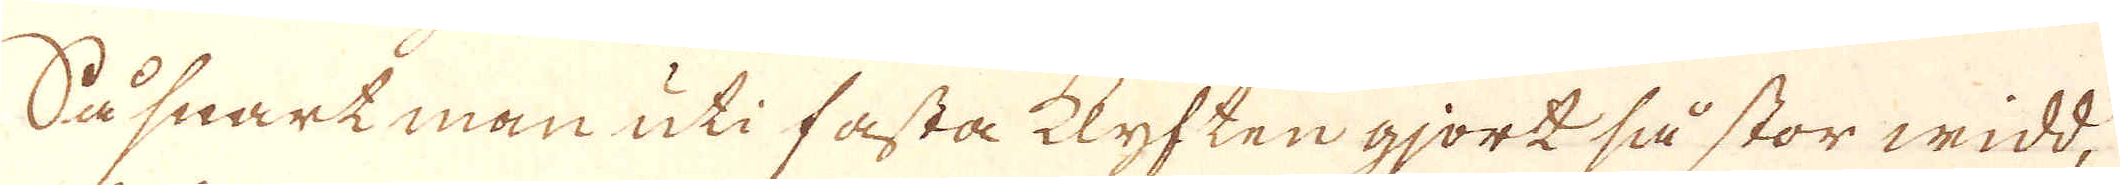Så snart man uti fasta klyften gjort så stor widd,
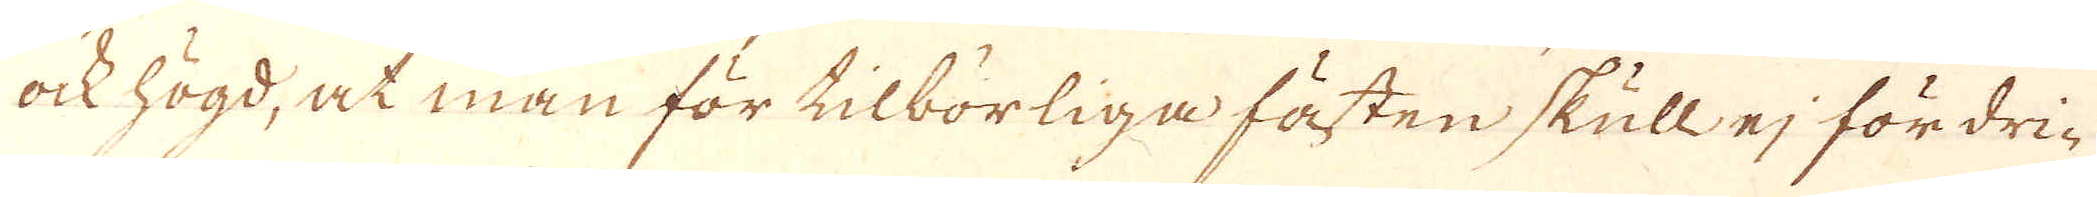ock högd, at man för tilbörliga fästen skull ej fördri-
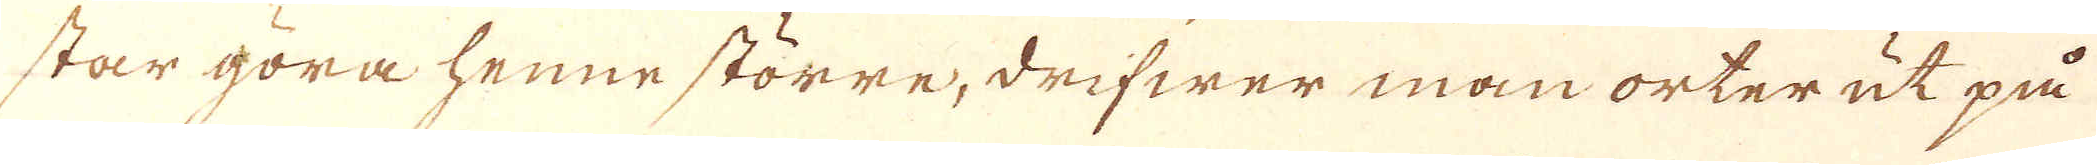star göra henne större, drifwer man orter ut på
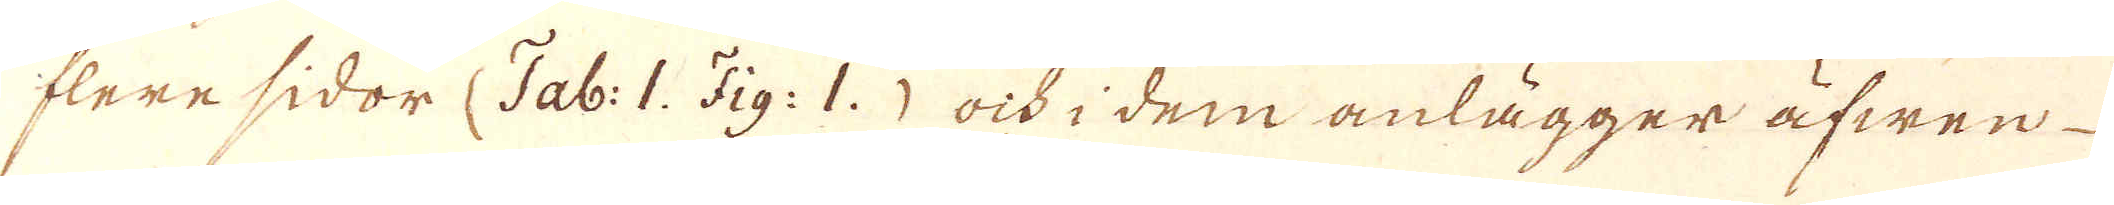flere sidor (Tab: 1. Fig: 1.) ock i dem anlägger äfwen
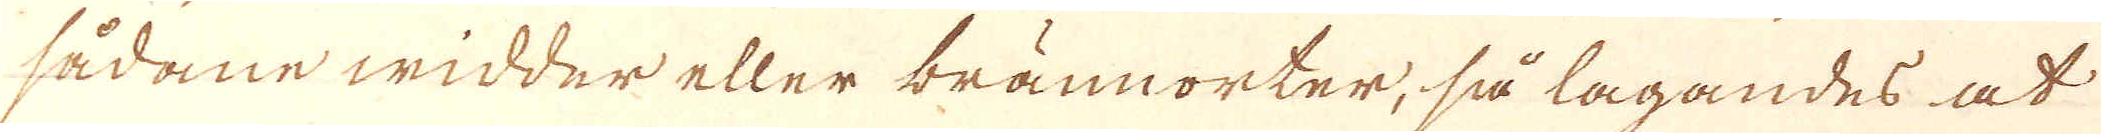sådane widder eller brännorter, så lagandes at
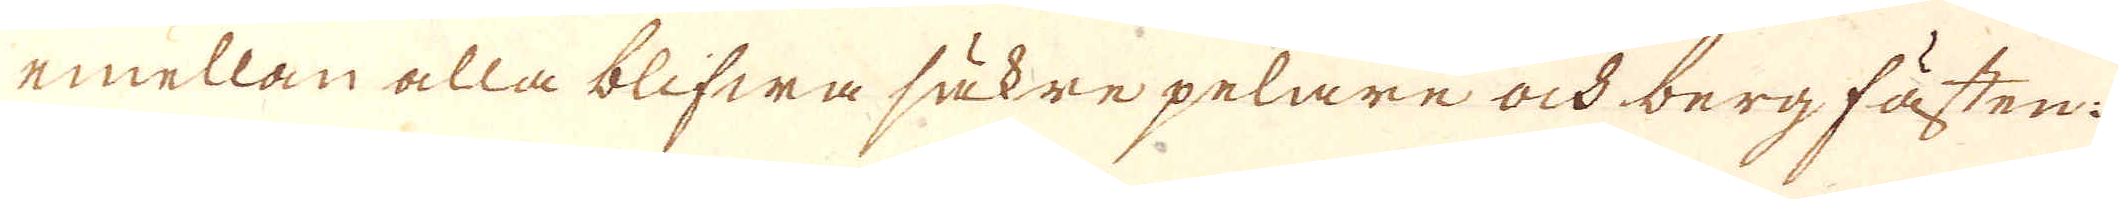emellan alla blifwa säkre pelare och berg fästen:
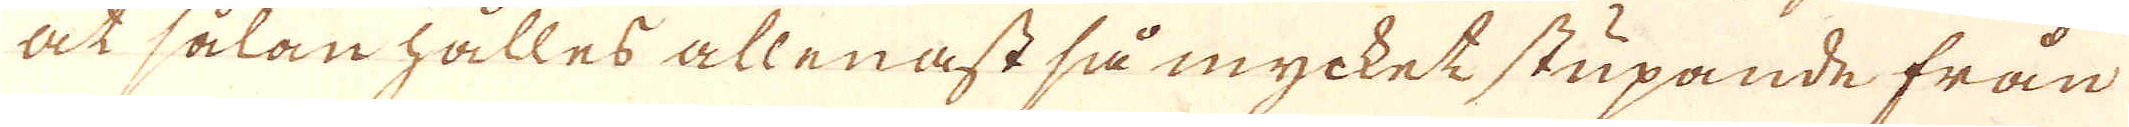at sålan hålles allenast så mycket skupande från
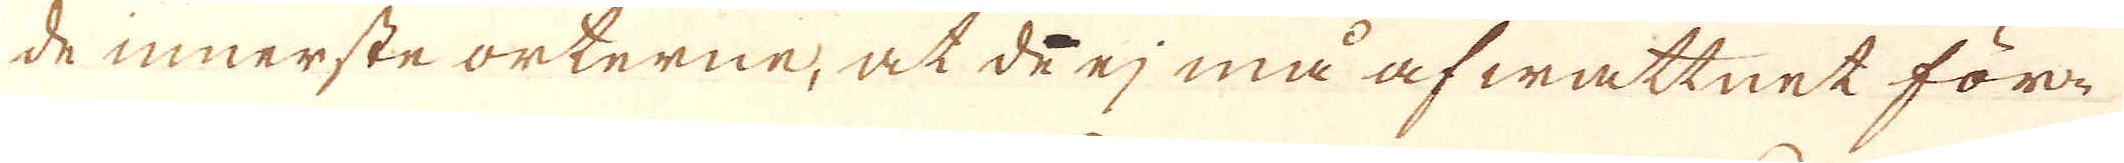de innerste orterne, at de ej må af wattnet för-
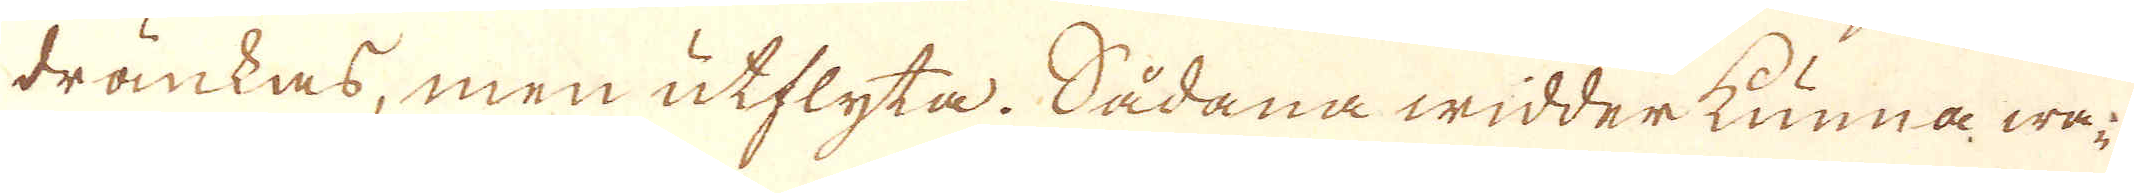dränkas; men utflyta. Sådana widderkunna wa-
